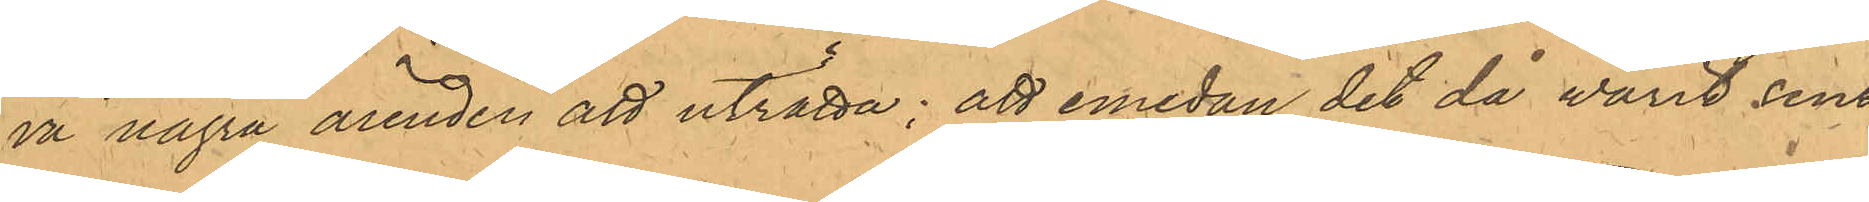va några ärenden att uträtta; att emedan det då varit sent
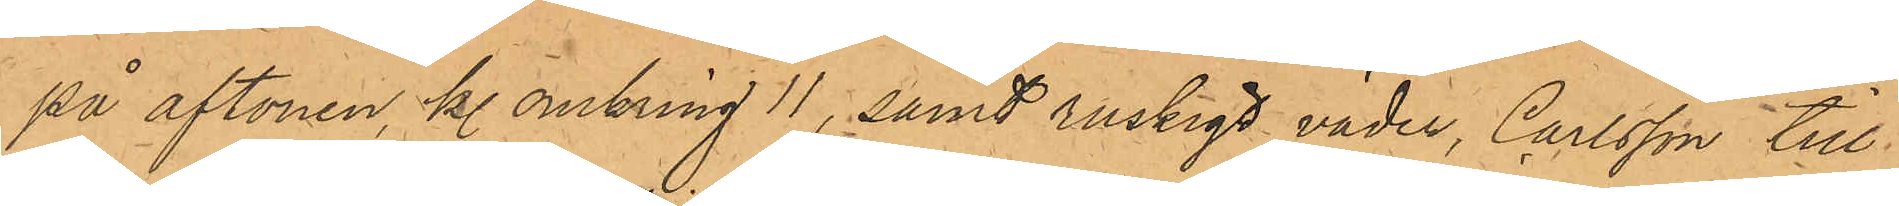på aftonen, kl. omkring 11, samt ruskigt väder, Carlsson till
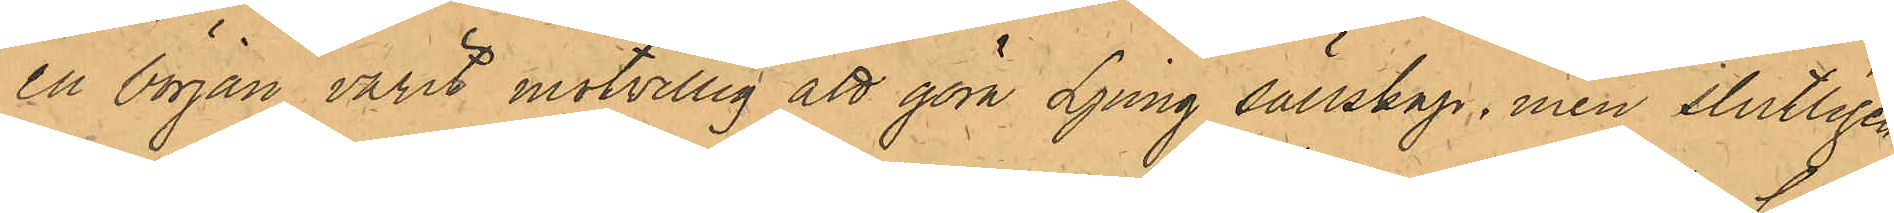en början varit motvillig att göra Ljung sällskap, men slutligen
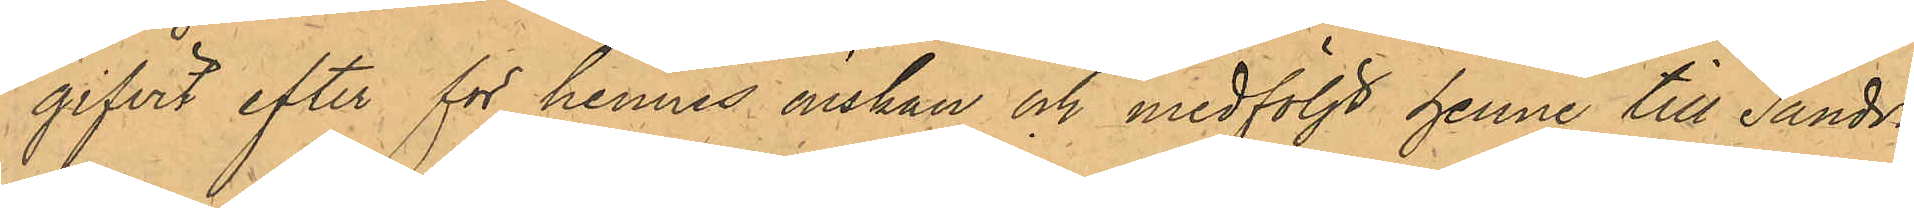gifvit efter för hennes önskan och medföljt henne till Sandvi¬
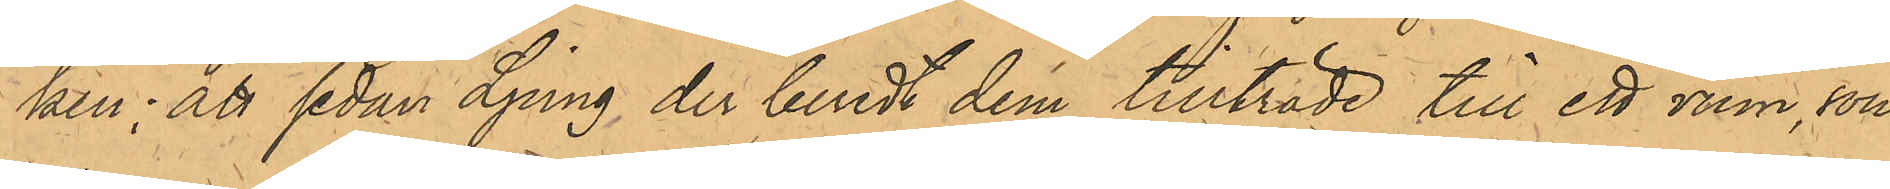ken; att sedan Ljung, der beredt dem tillträde till ett rum, som
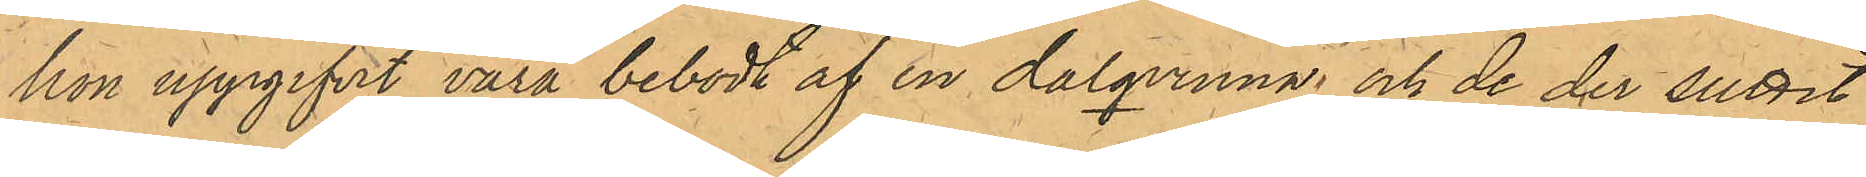hon uppgifvit vara bebodt af en dalqvinna och de der suttet
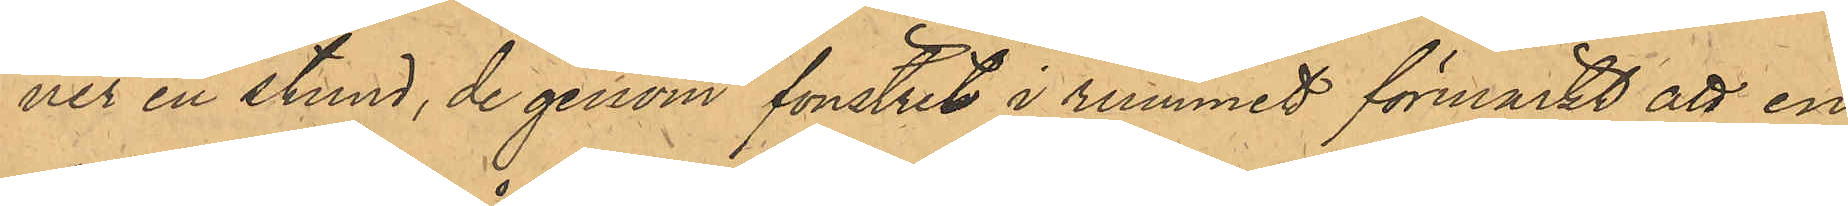ner en stund, de genom fönstret i rummet förmärkt att en
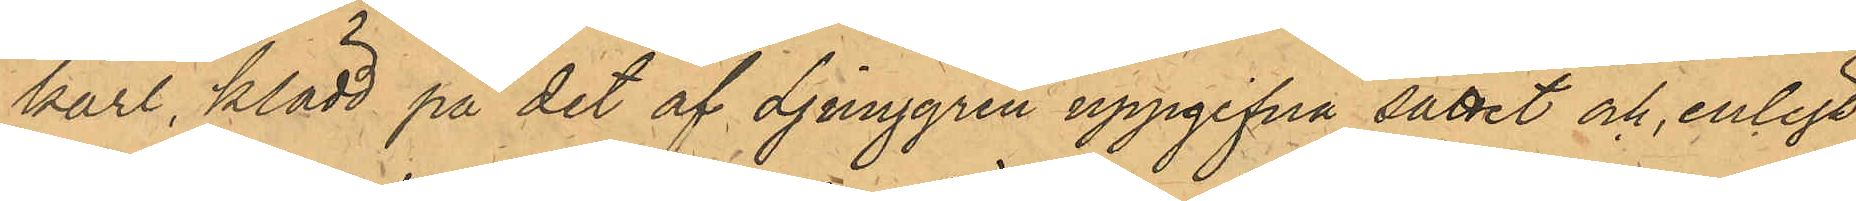karl, klädd på det af Ljunggren uppgifna sättet och, enligt
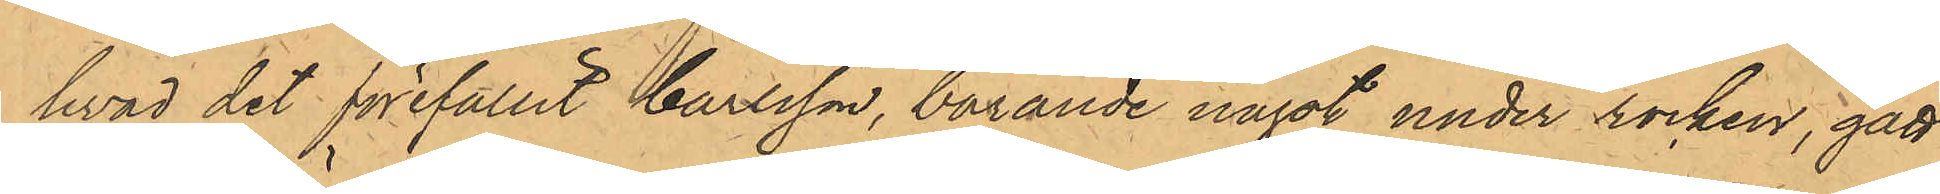hvad det förefallit Carlsson, bärande något under rocken, gått
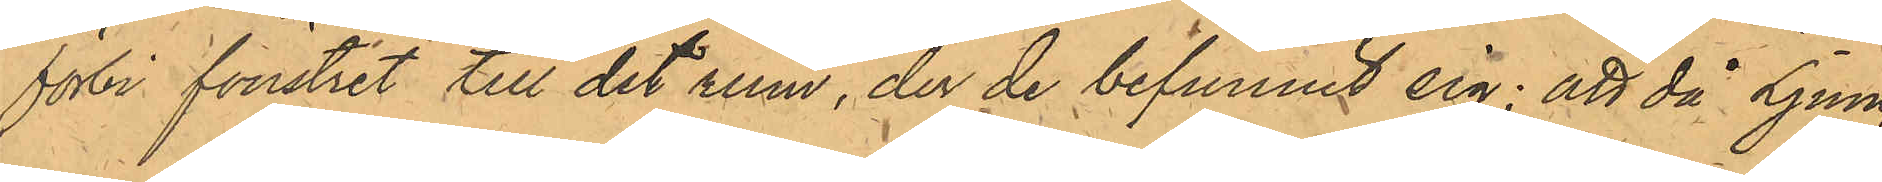förbi fönstret till det rum, der de befunnit sig; att då Ljung
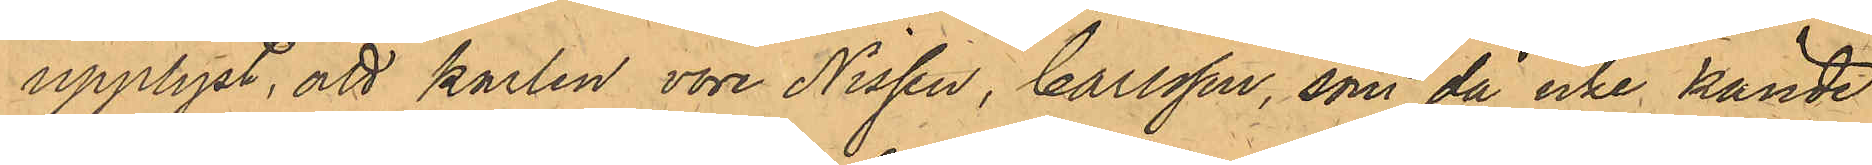upplyst, att karlen vore Nissen, Carlsson, som då icke kände
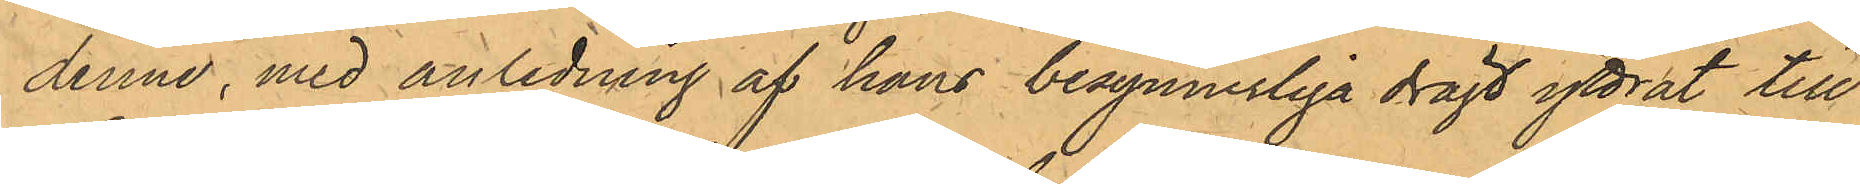denne, med anledning af hans besynnerliga drägt yttrat till
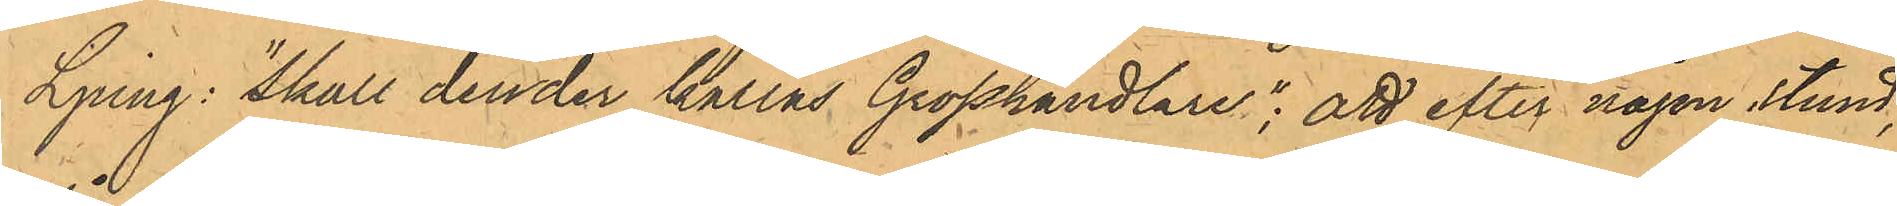Ljung: "Skall den der kallas Grosshandlare"; att efter någon stund,
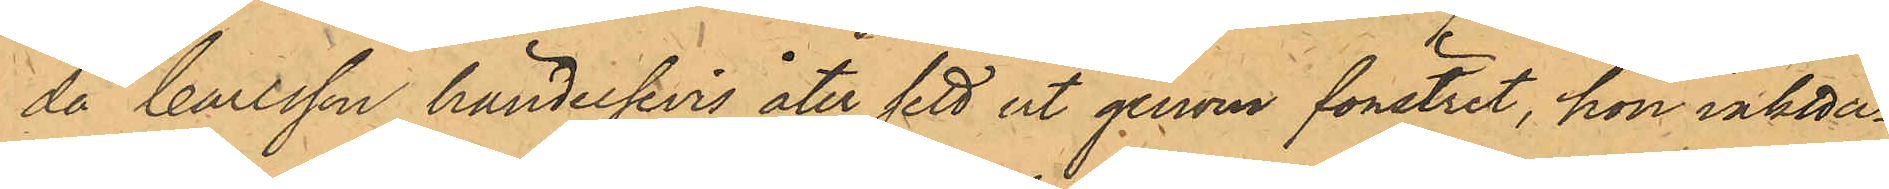då Carlsson händelsevis åter sett ut genom fönstret, hon iaktta¬
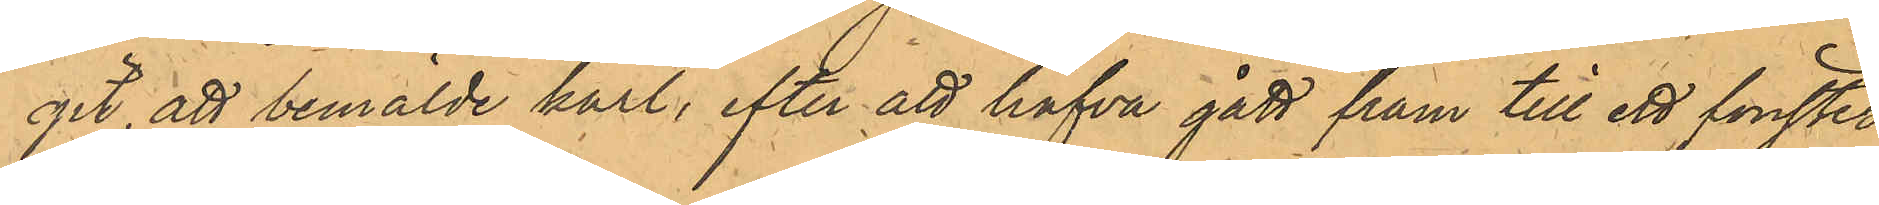git, att bemälde karl, efter att hafva gått fram till ett fönster
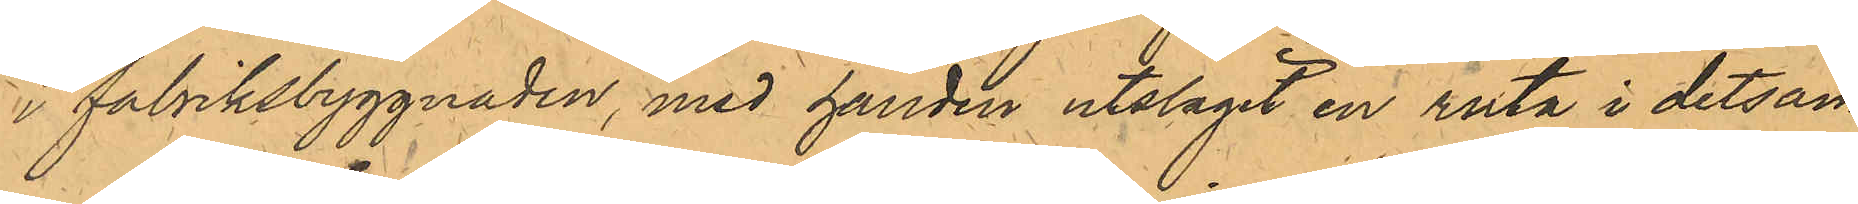i fabriksbyggnaden, med handen utslagit en ruta i detsam¬
